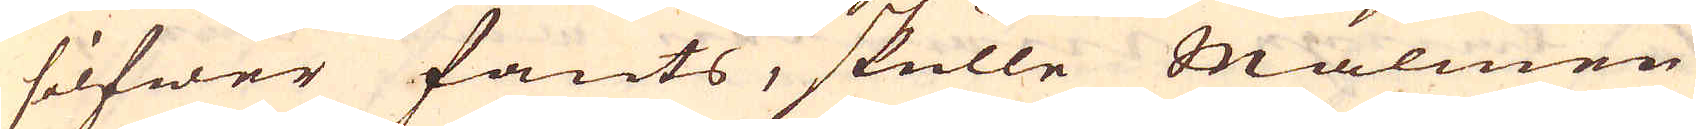silfwer fants, skulle Malmen
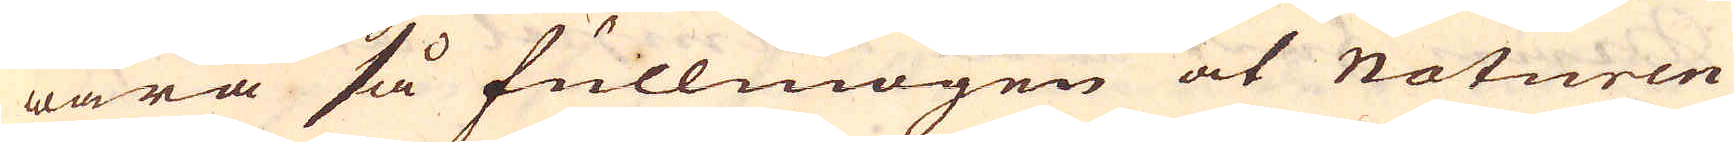wara så fullmogen at Naturen
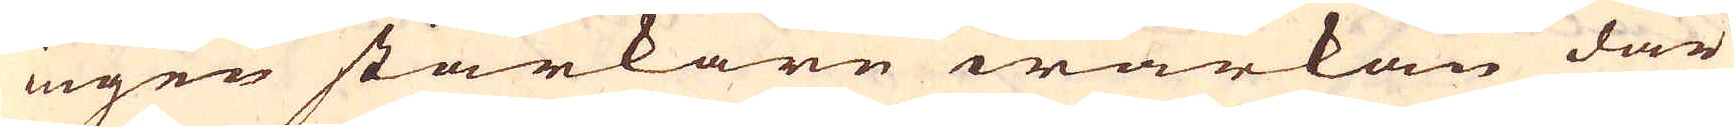ingen starkare wärkan där
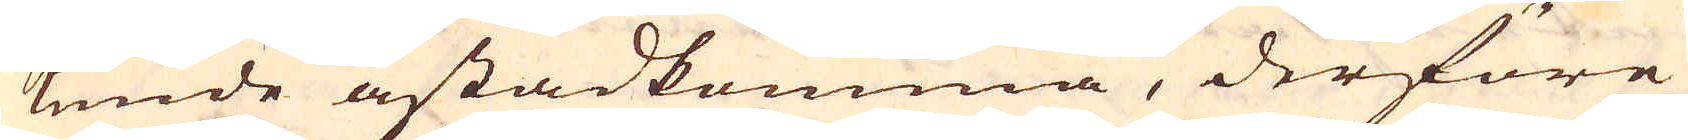kunde åstadkomma, derföre
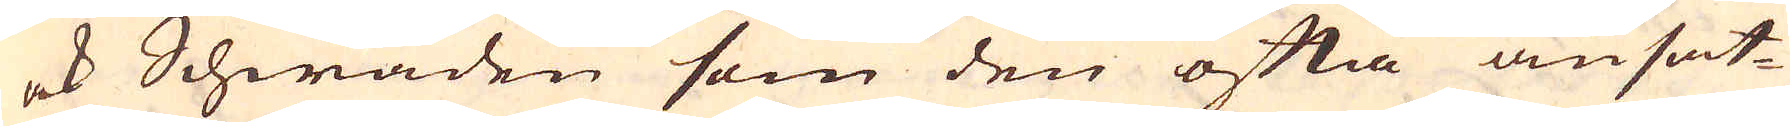ock Schwaden som den ofta ansat-
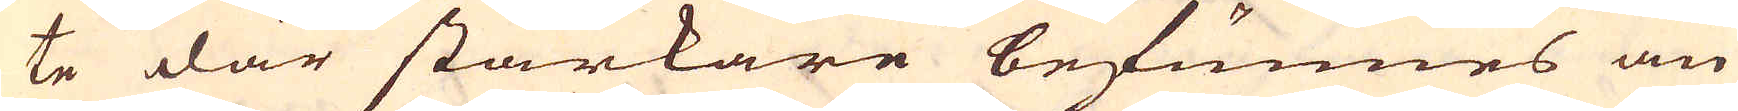te där starkare befunnes än
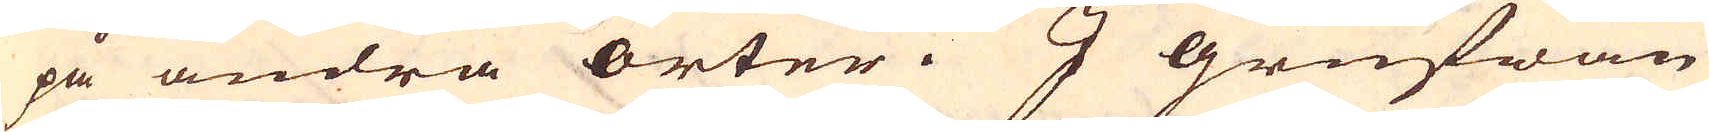på andra orter. I grufwan
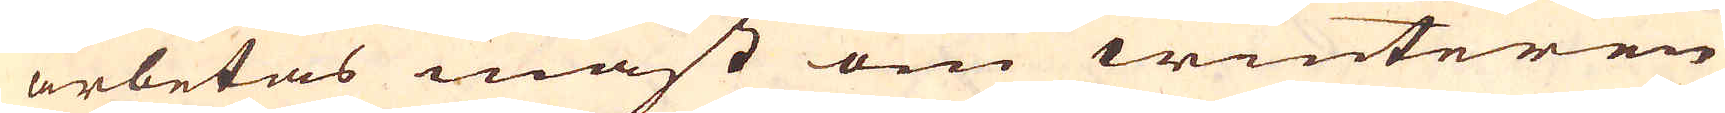arbetas mäst om winteren
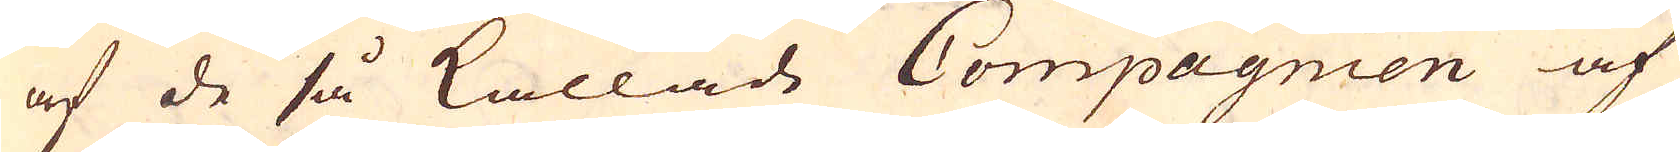af de så kallade Compagnien af
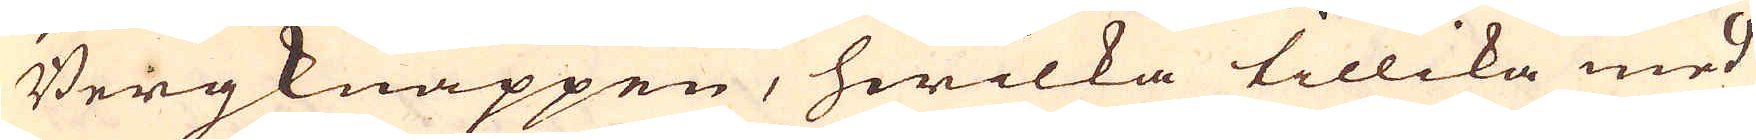Bergknappen, hwilka tillika med
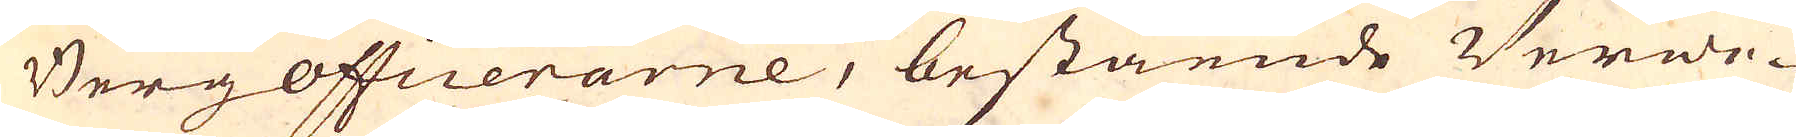Bergofficerarne, bestående Verwe-
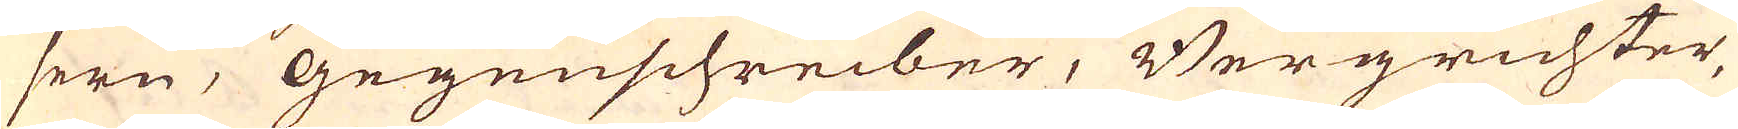sern, Gegenschreiber, Bergrichter,
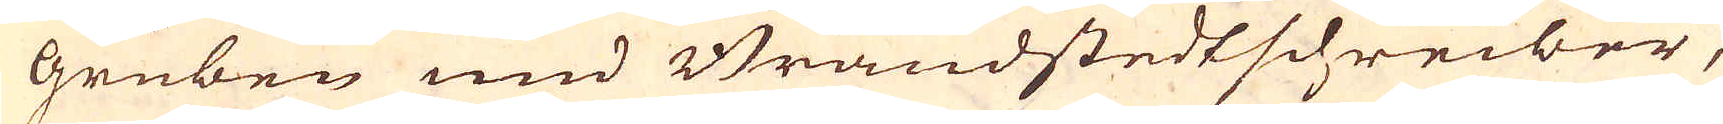Gruben und Brandstedtschreiber,
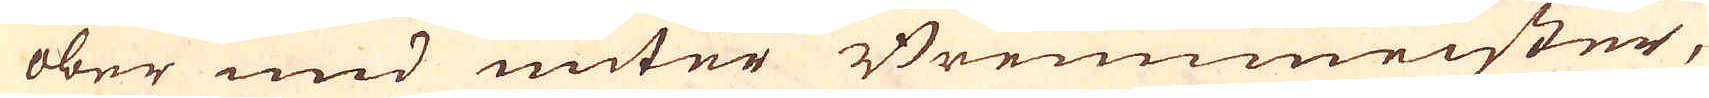ober und unter Bremmeister,
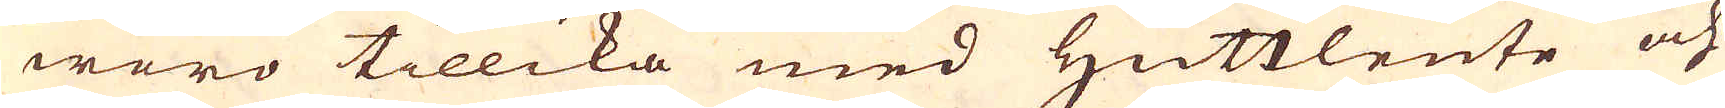woro tillika med Hüttleute och
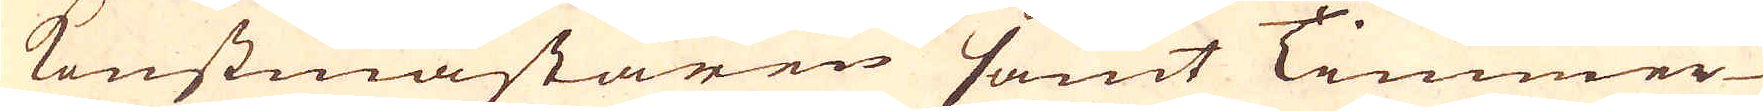Konstmästaren samt Timmer-
